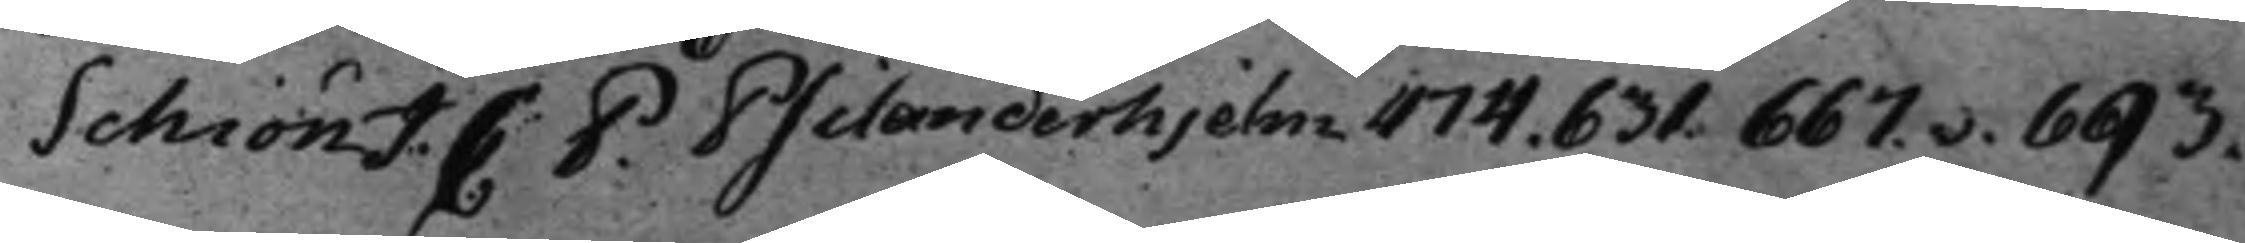Schiön J. C: P. Psilanderhjelm 474. 631. 667.v. 693.
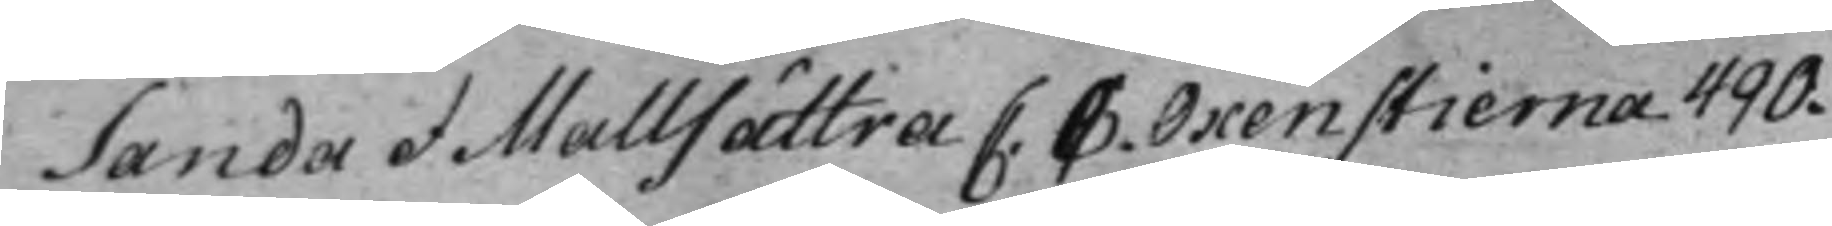Sanda et Mallsättra C. C. Oxenstierna 490.
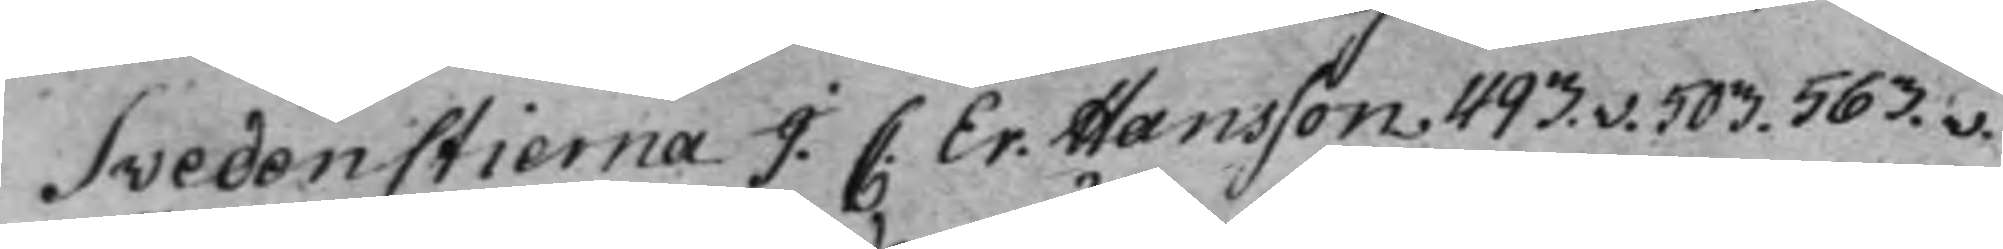Svedenstierna J. C. Er. Hansson. 493.v. 503. 563.v.
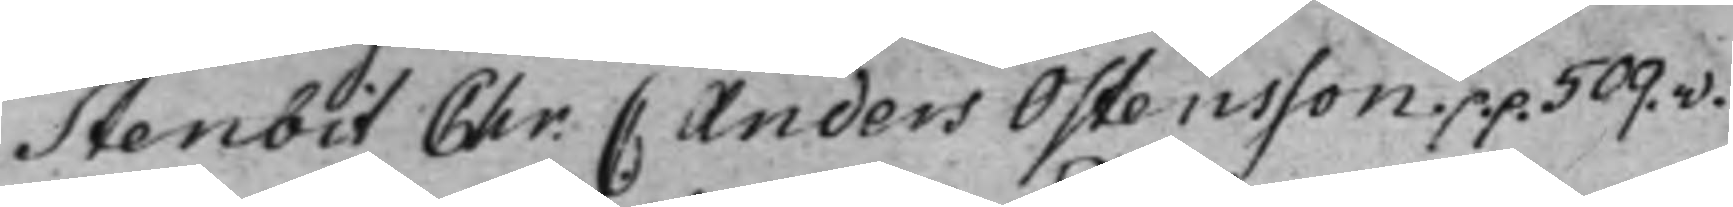Stenbit Chr. C. Anders Östensson p.p. 509.v.
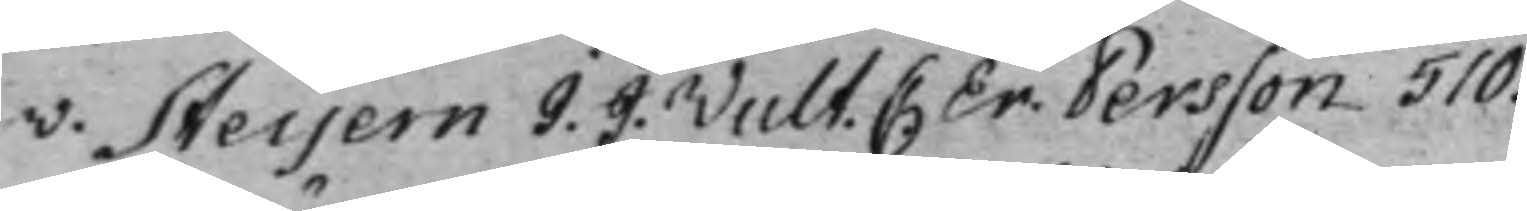v. Steijern J. J. Vult. C. Er. Persson 510.
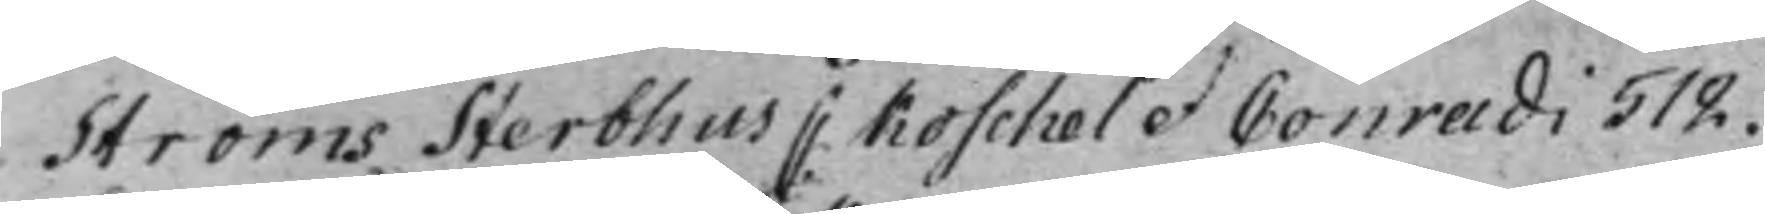Ströms Sterbhus C. Koschel et Conradi 512.
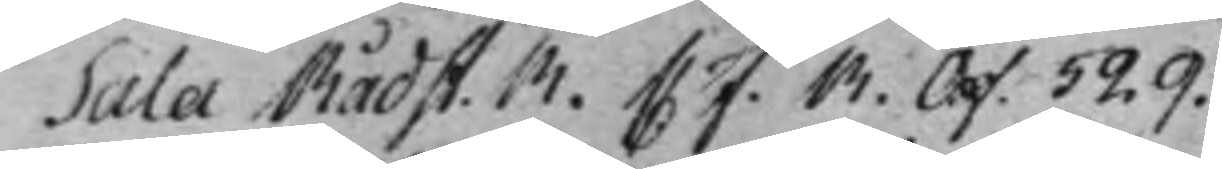Sala Rådst. R. C F. R. Off. 529.
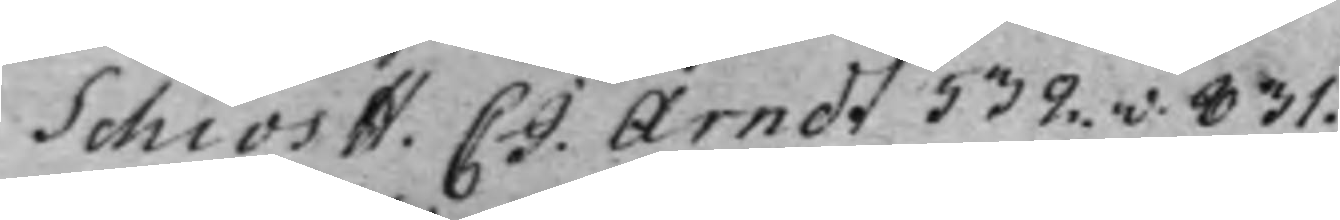Schiös H. C J. Arndt 532.v. 831.
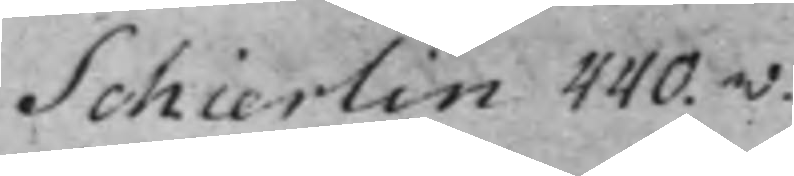Schierlin 440.v.
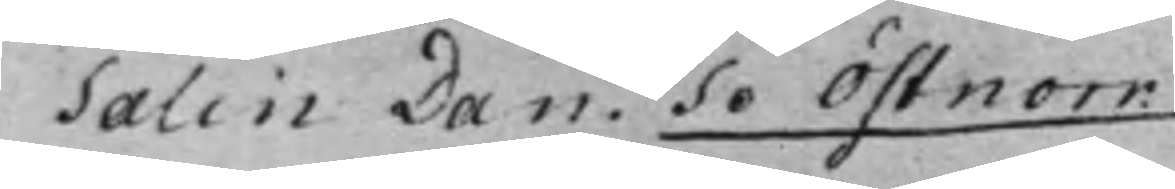Salin Dan. Se Östnorr.
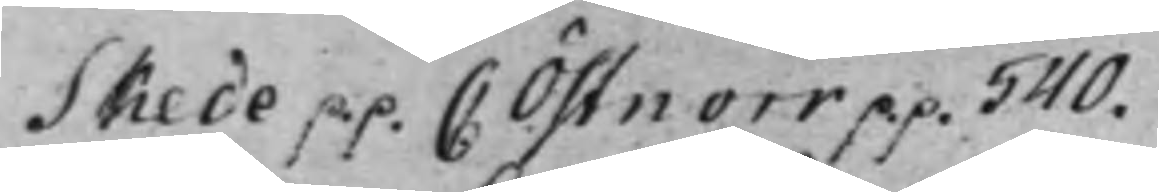Skede p.p. C Östnorr p.p. 540.
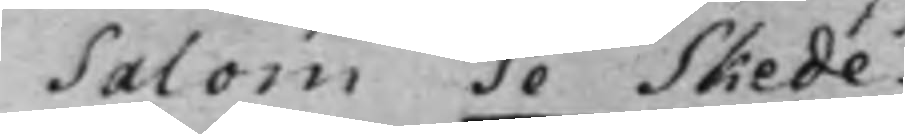Salom Se Skede:
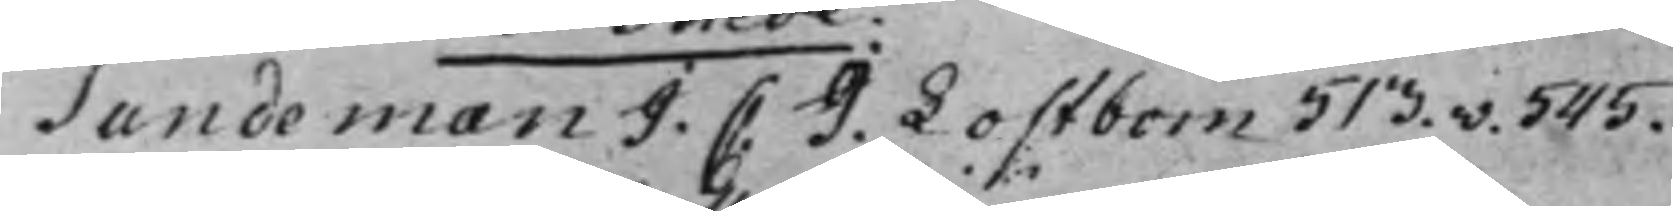Sundeman J. C. J. Lostbom 513.v. 545.
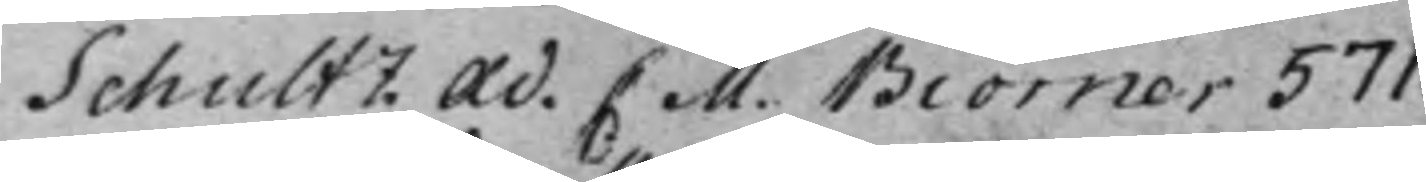Schultz Ad. C. M. Biörner 571.
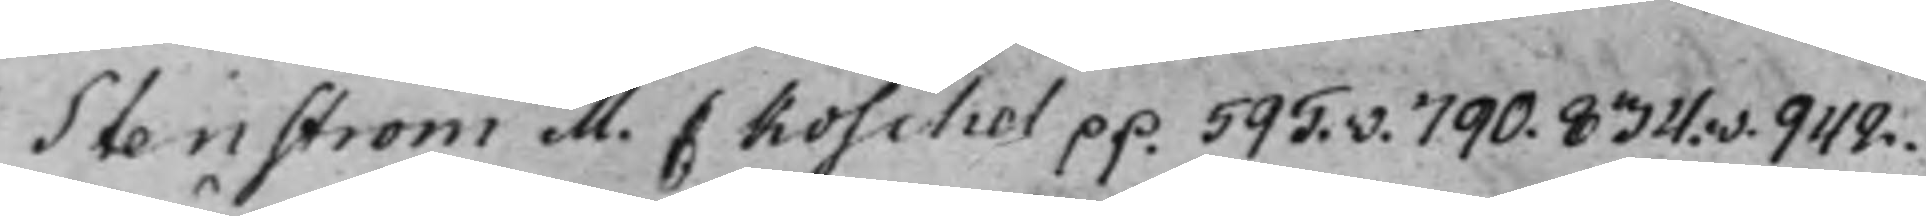Stenström M. C. Koschel p.p. 595.v. 790. 834.v. 942.
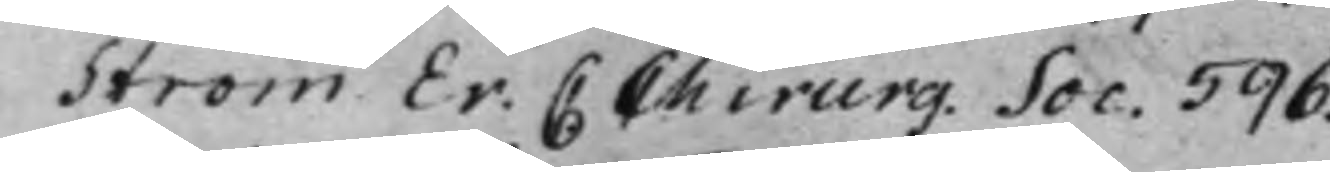Ström Er. C Chirurg. Soc. 596.
